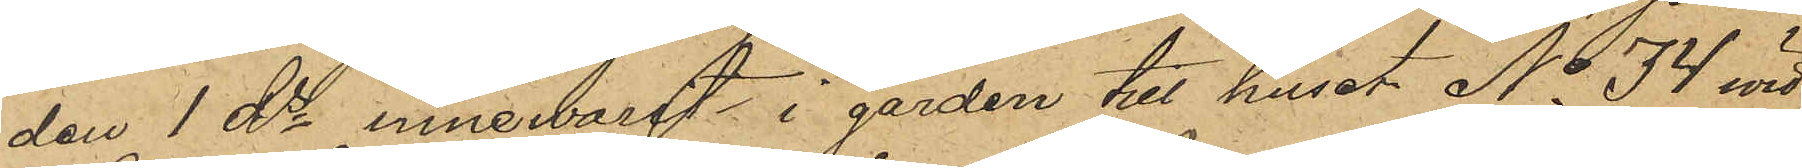den 1 ds innewarit i gården till huset No 34 wid
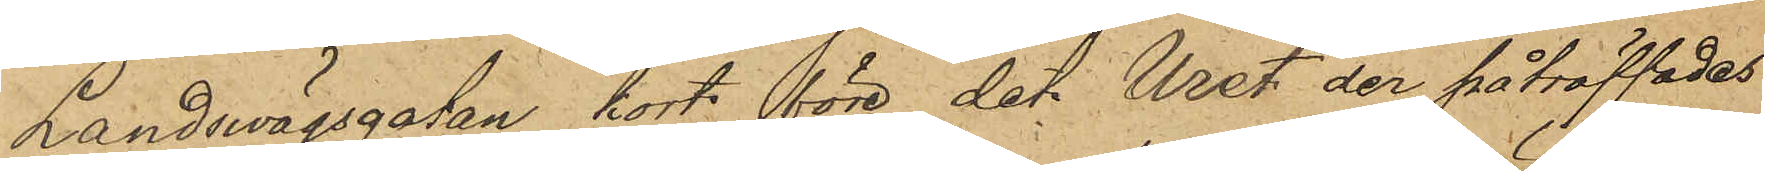Landswägsgatan kort före det Uret der påträffades
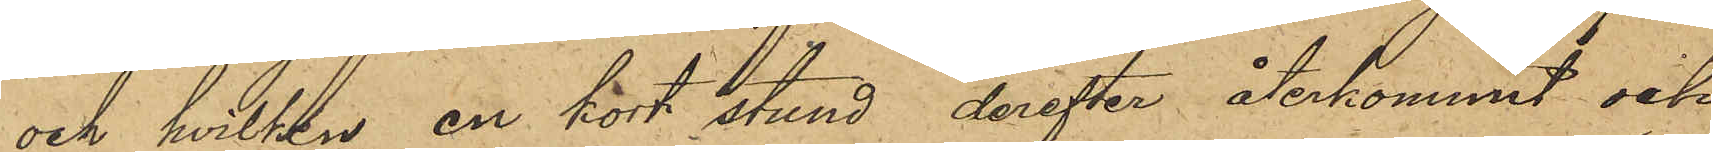och hvilken en kort stund derefter återkommit och
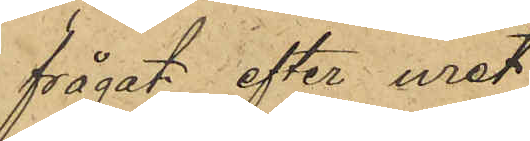frågat efter uret.
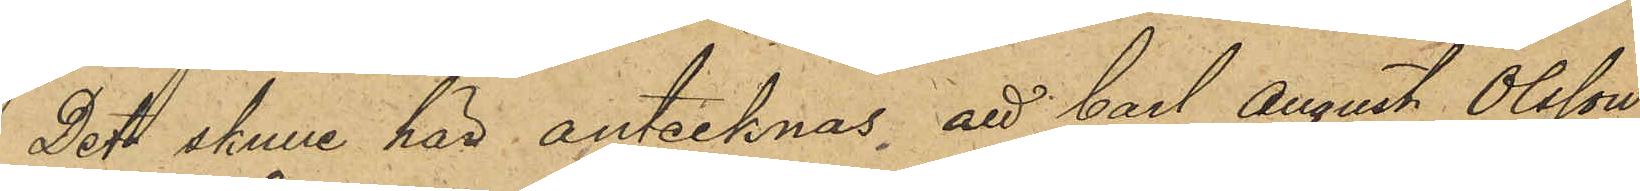Dett skulle här antecknas att Carl August Olsson,
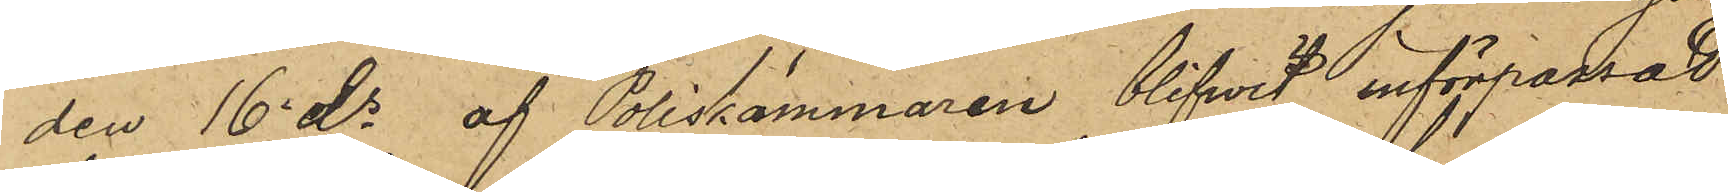den 16 ds af Poliskammaren blifvit införpassad
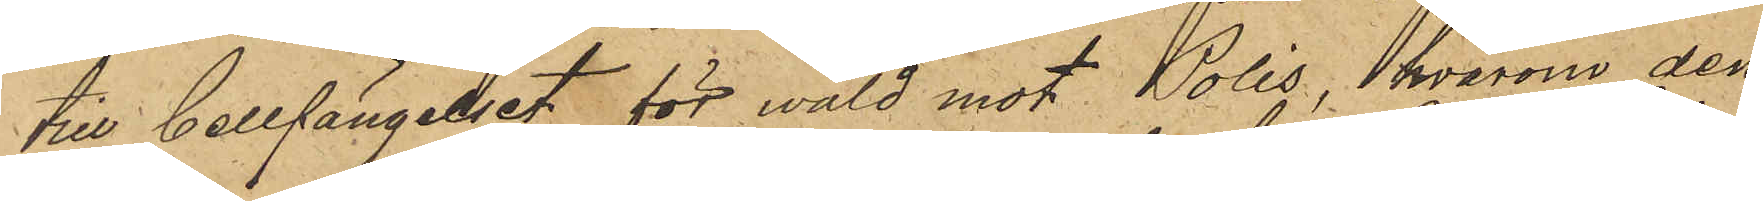till Cellfängelset för wåld mot Polis, hvarom den
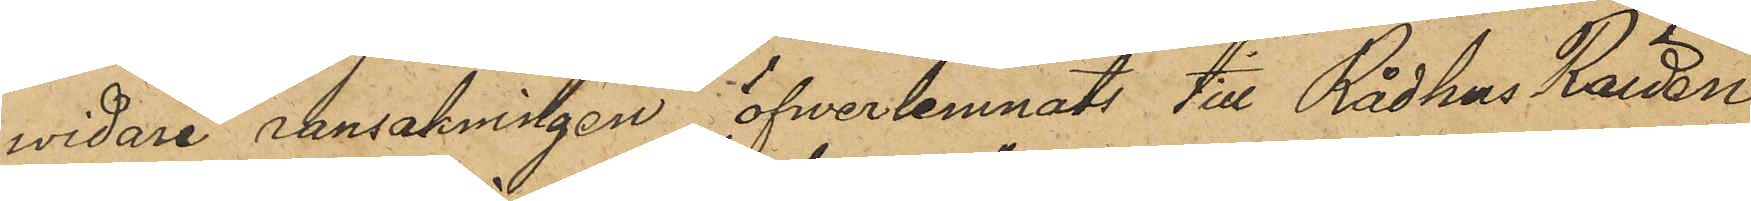widare ransakningen öfverlemnats till Rådhus Rätten
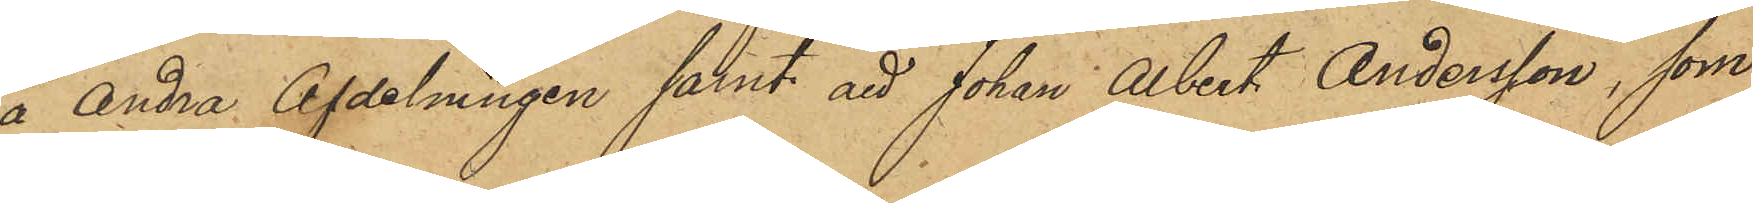å Andra Afdelningen samt att Johan Albert Andersson, som
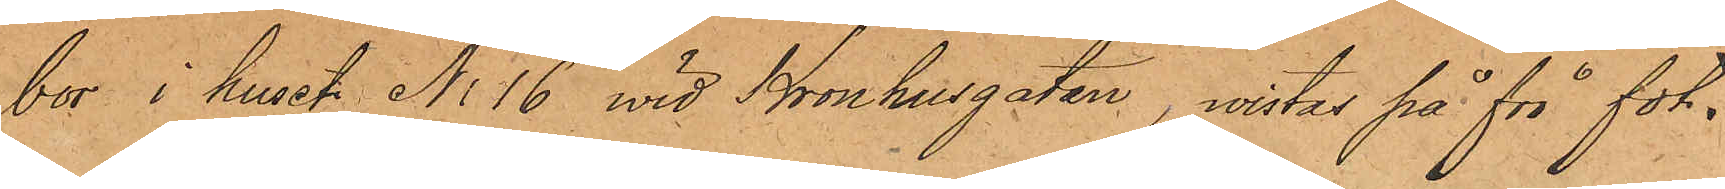bor i huset No 16 vid Kronhusgatan, wistas på fri fot.
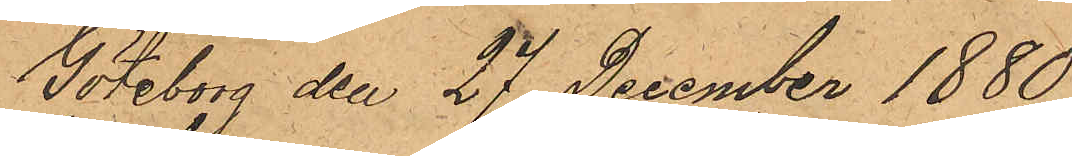Göteborg den 27 December 1880.
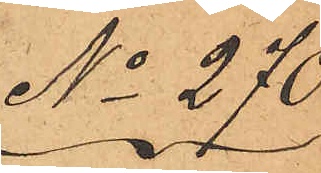No 270.
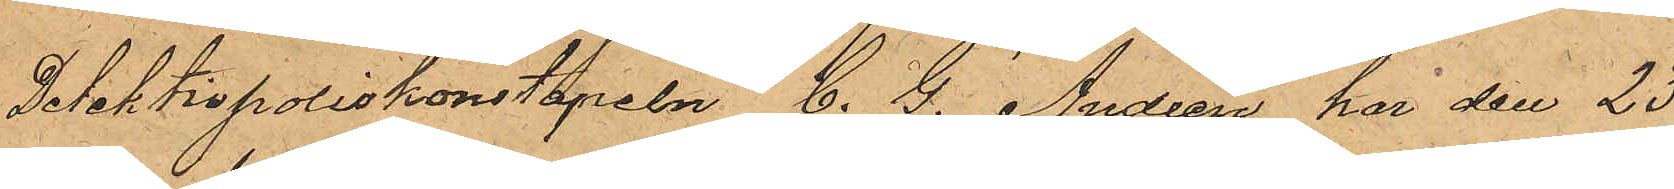Detektivpoliskonstapeln C. G. Andrén har den 23
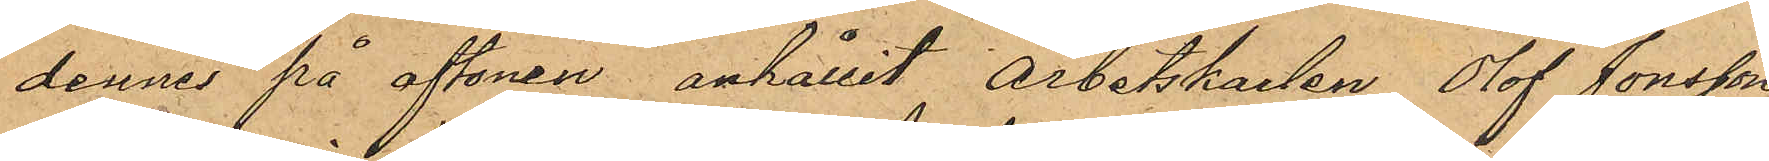dennes på aftonen anhållit Arbetskarlen Olof Jonsson,
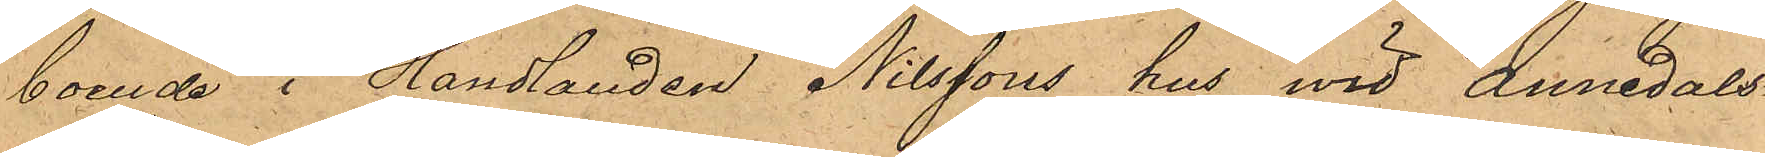boende i Handlanden Nilssons hus wid Annedals¬
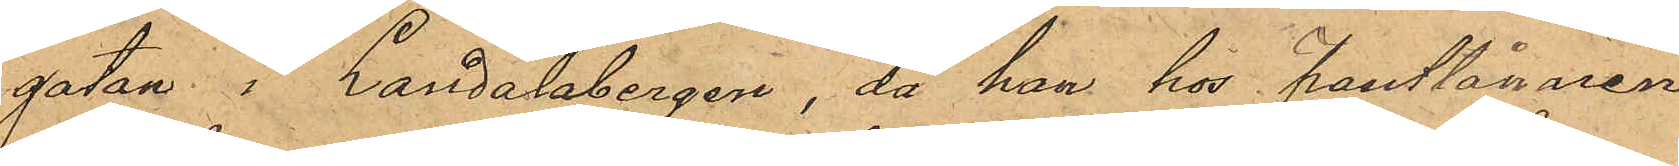gatan i Landalabergen, då han hos Pantlånaren
